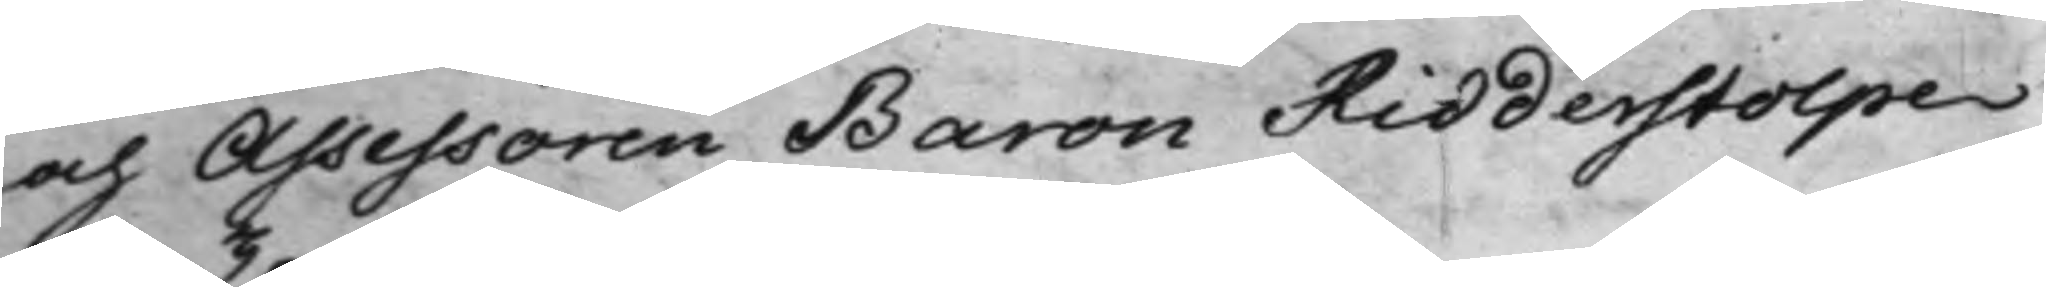och Assessoren Baron Ridderstolpe
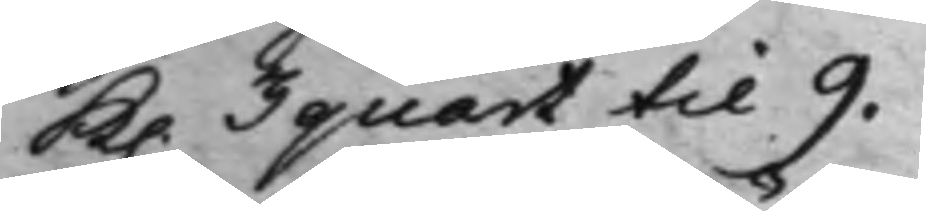K. 3 quart til 9.
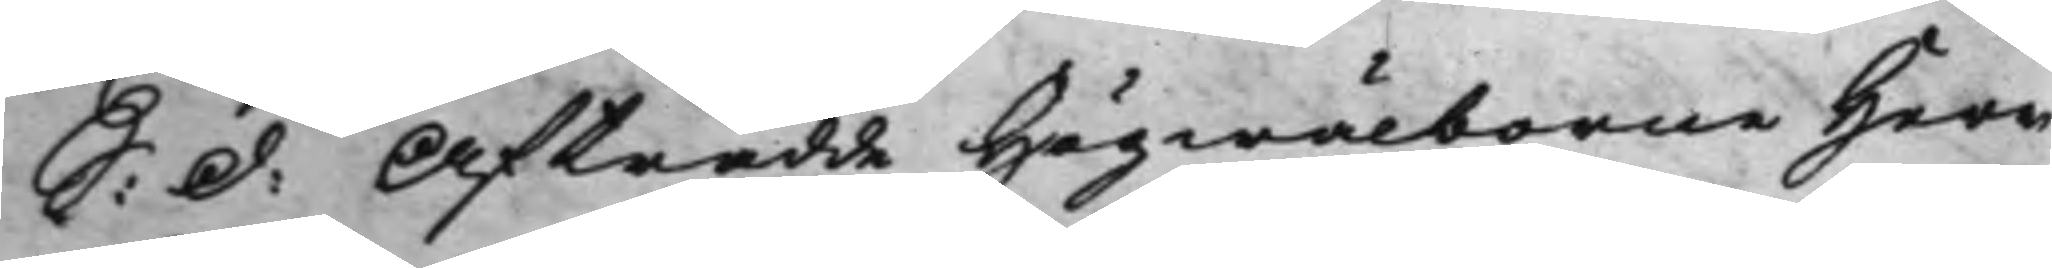S: d: Afträdde Högwälborne Herr
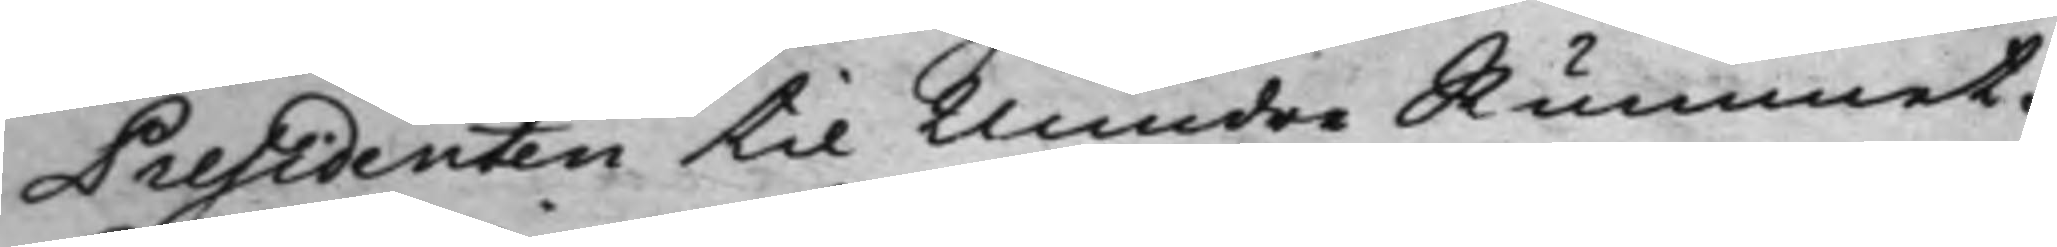Presidenten til Mindre Rummet.
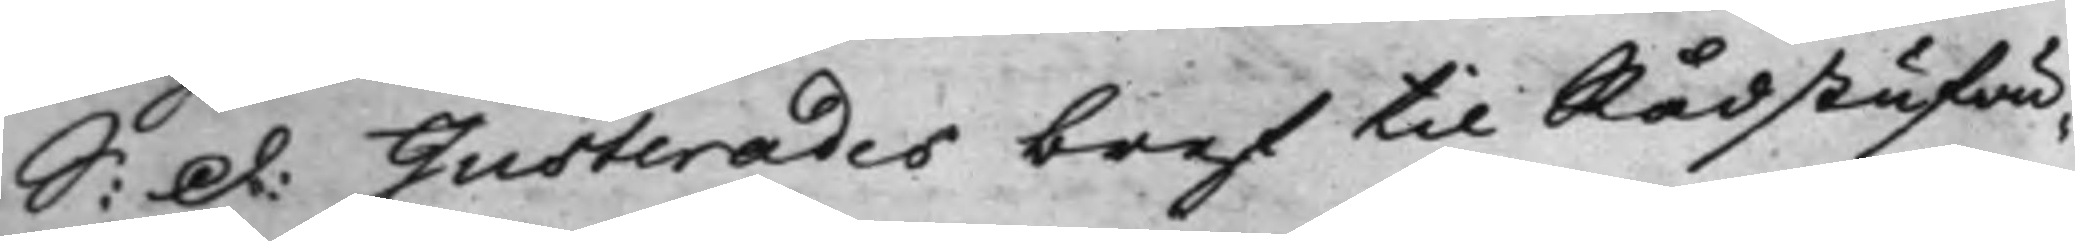S: d: Justerades bref til Rådstufvu¬
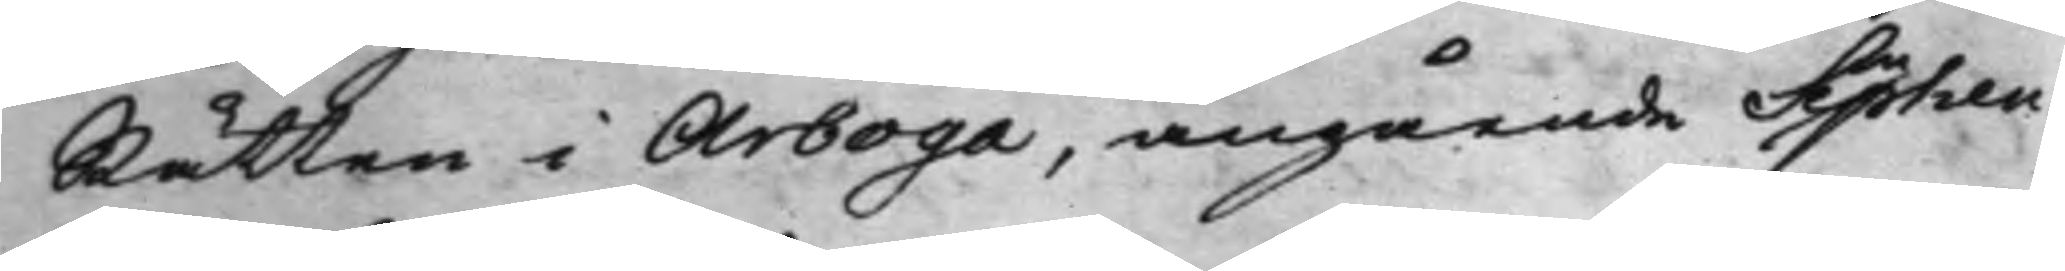Rätten i Arboga, angående Septen¬
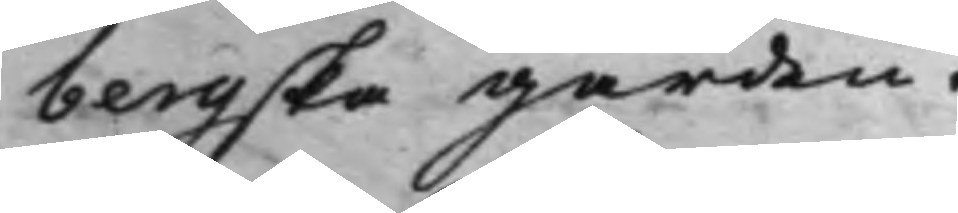bergska gården.
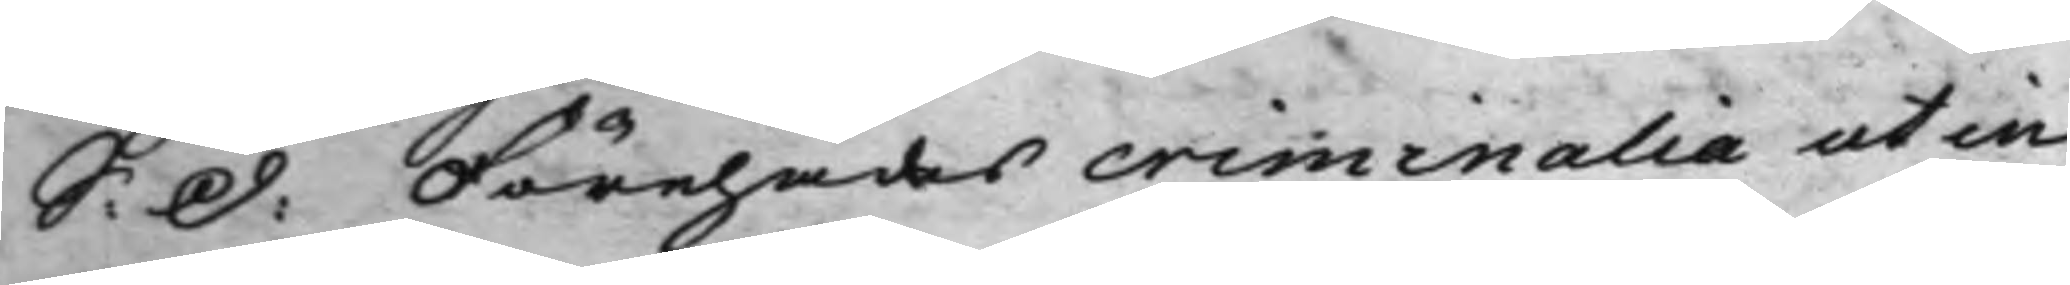S: d: Förehades criminalia ut in
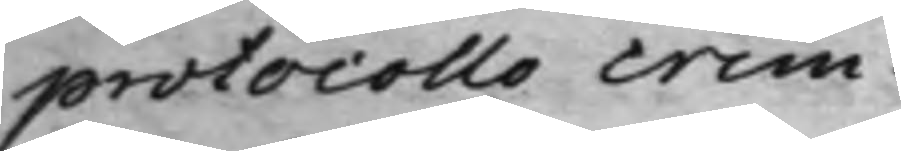protocollo crim:
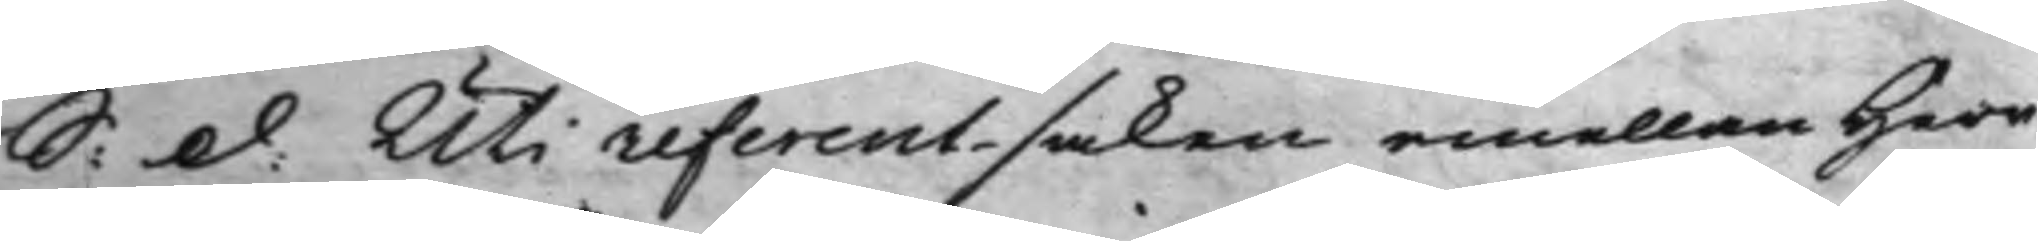S: d: Uti referent-saken emellan Herr
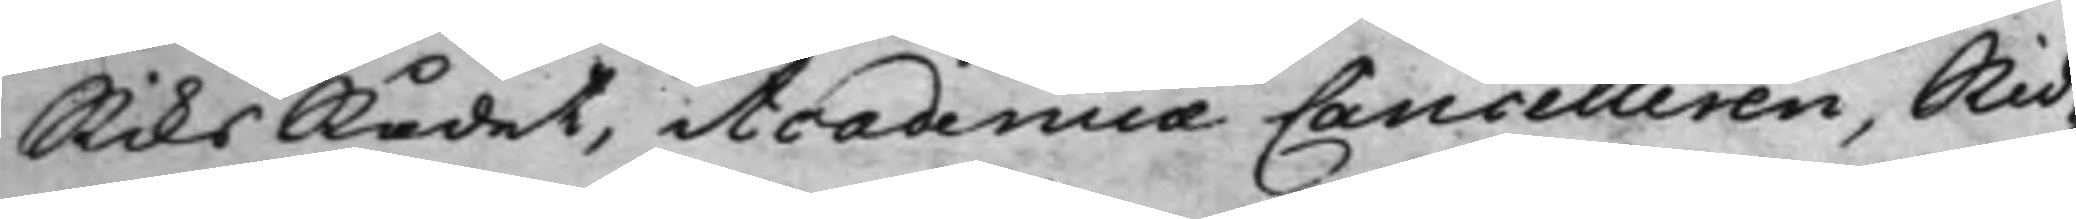RiksRådet, Academiæ Cancelleren, Rid¬
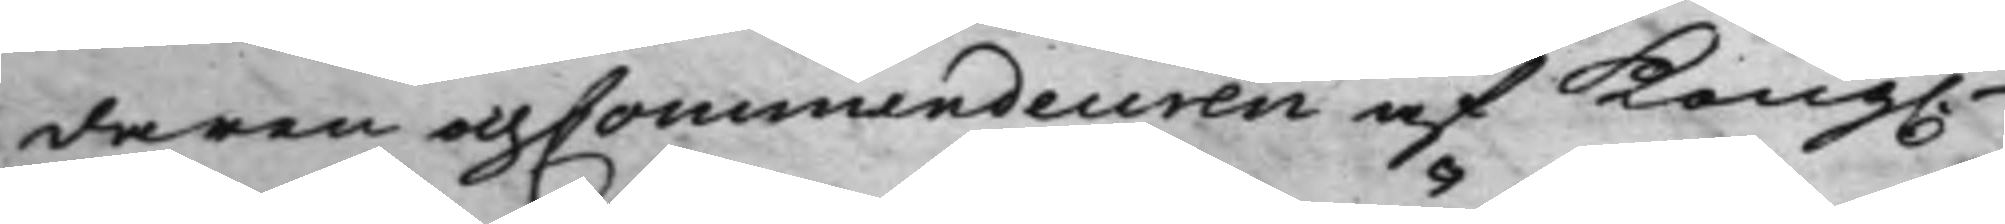daren och Commendeuren af Kong.
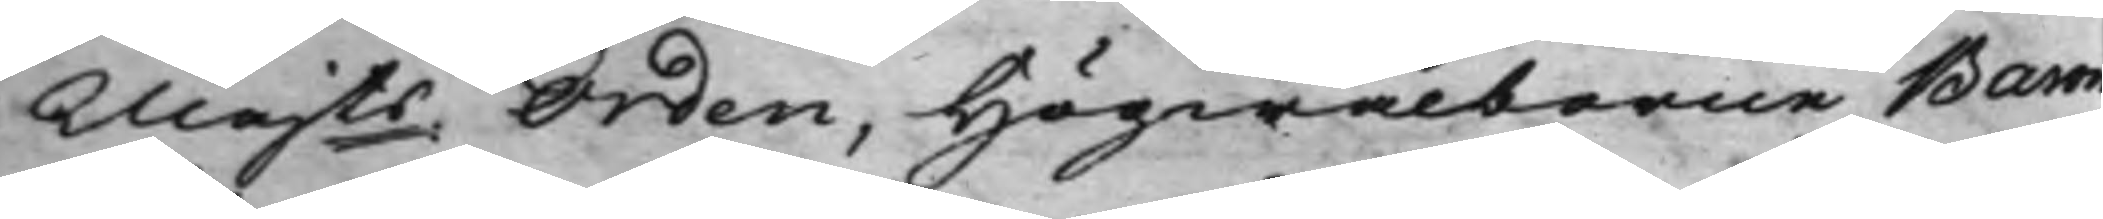Majts Orden, Högwälborne Baron
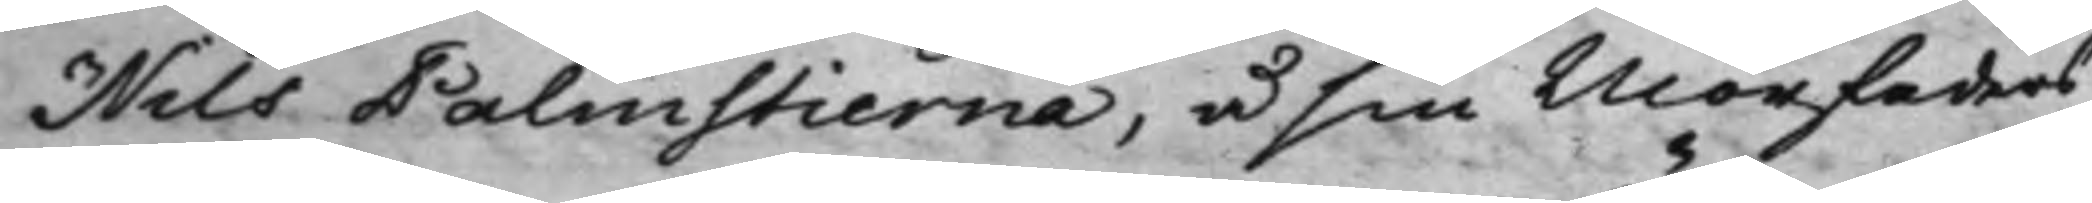Nils Palmstierna, å sin Morfaders
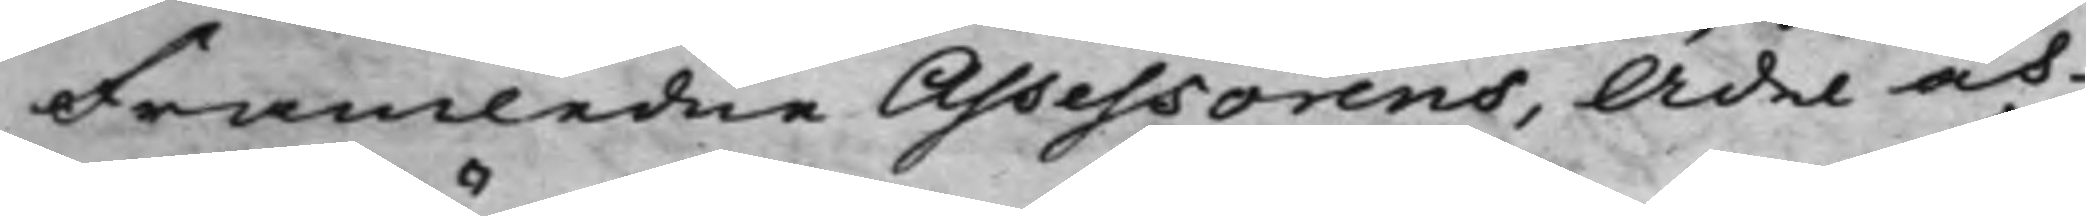Framledne Assessorens, Ädel och
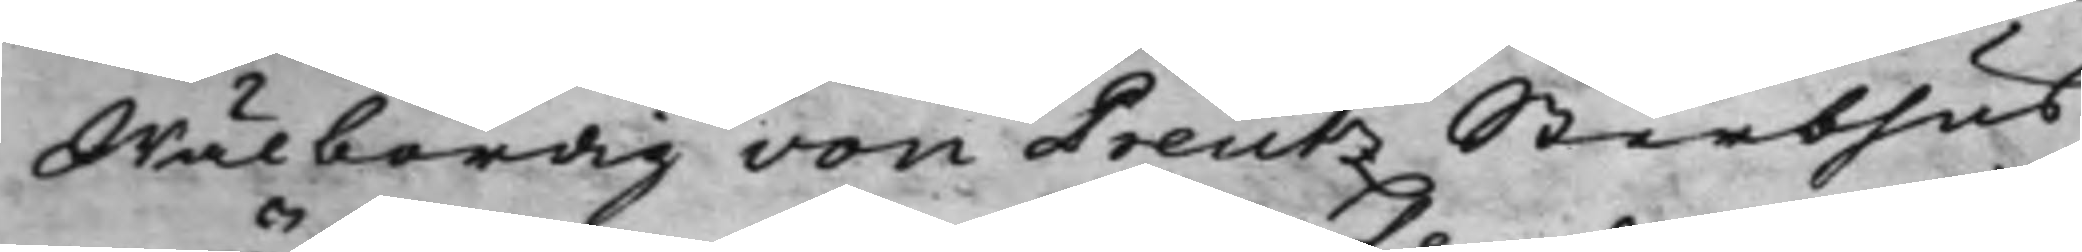Wälbördig von Preutz Sterbhus
